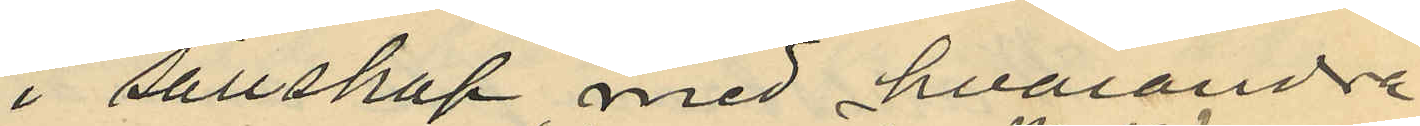i sällskap med hvarandra
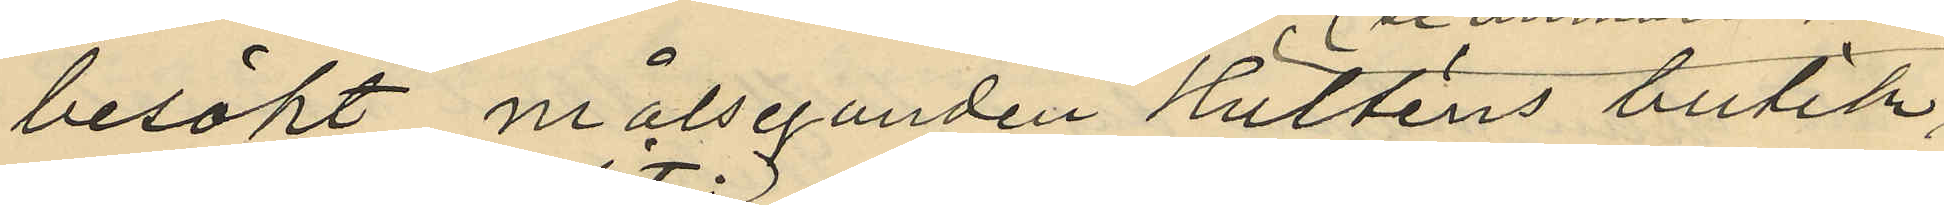besökt målseganden Hulténs butik,
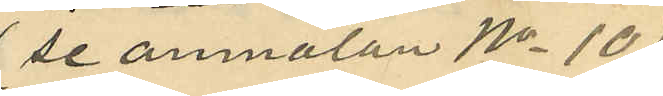(se anmälan No 10)
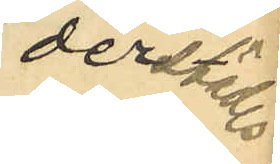derstädes
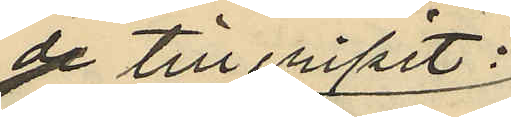de till tillgripit:
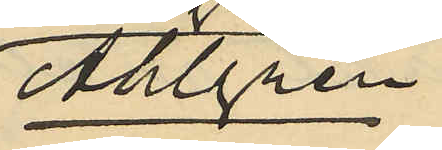Ahlgren
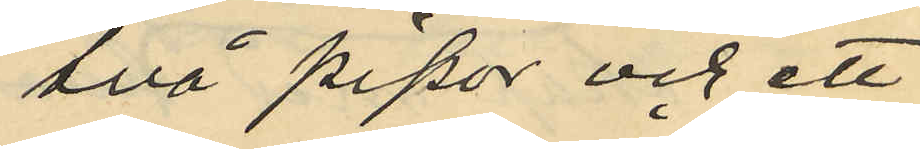två pipor och ett
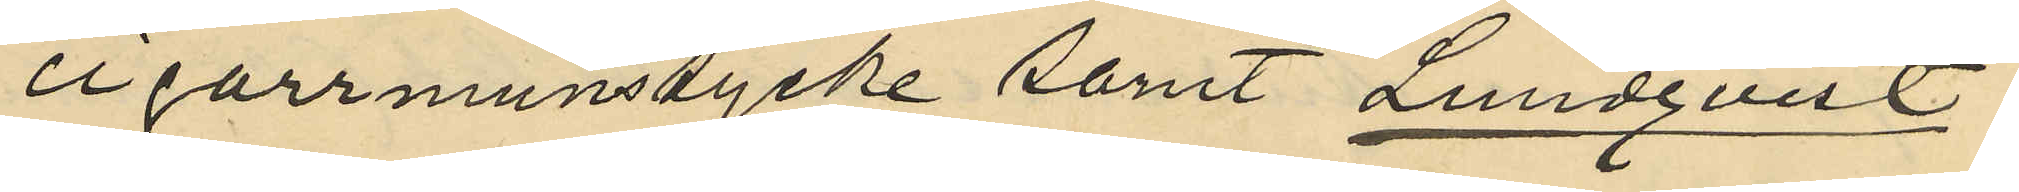cigarrmunstycke samt Lundqvist:
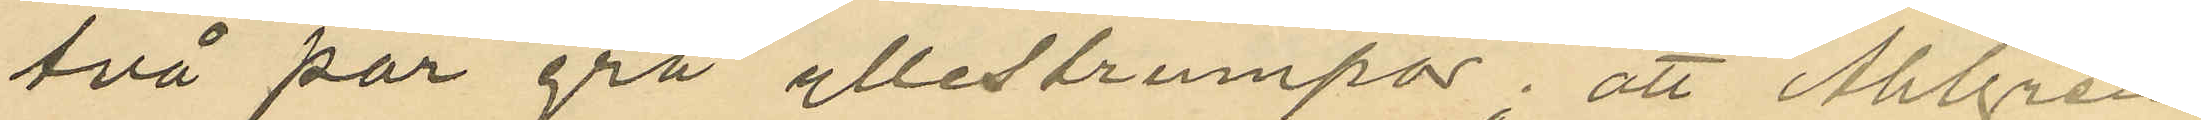två par grå yllestrumpor; att Ahlgren
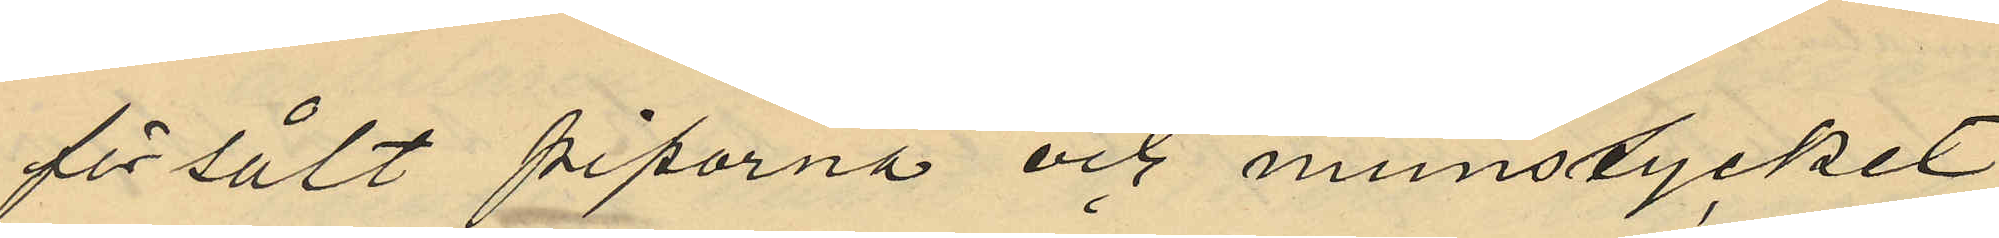försålt piporna och munstycket
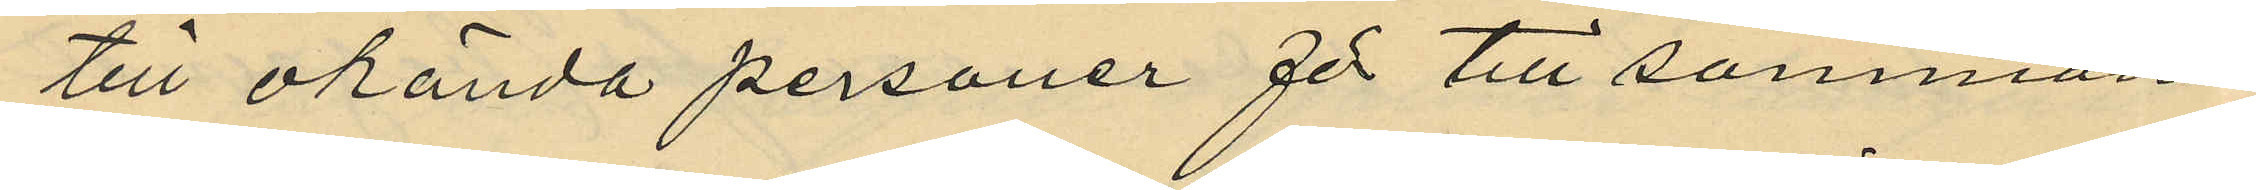till okända personer för till sammans
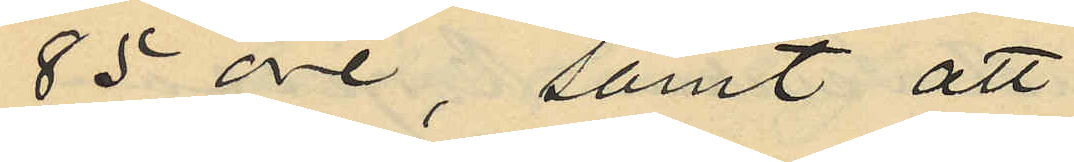85 öre, samt att
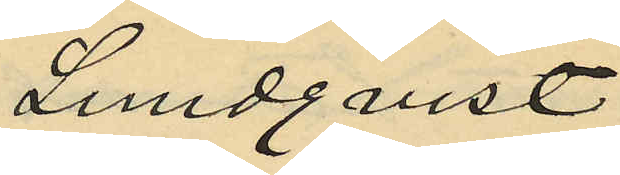Lundqvist
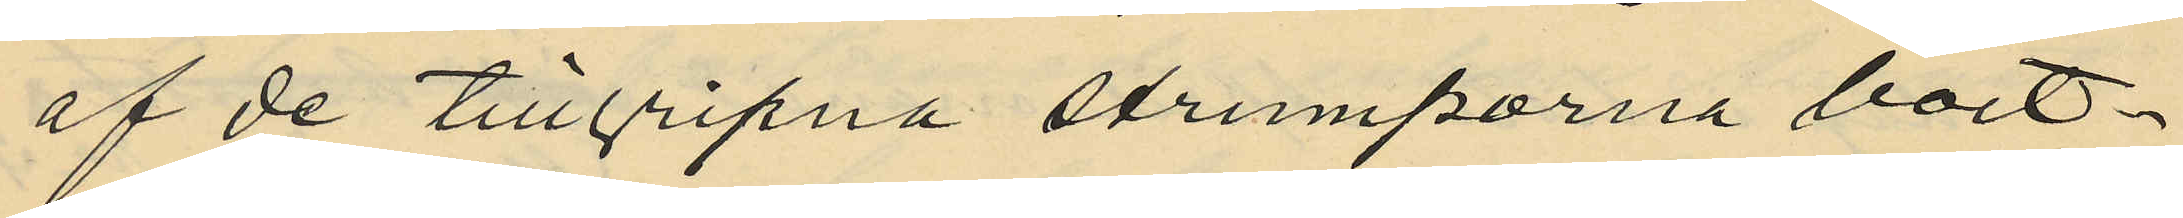af de tillgripna strumporna bort¬
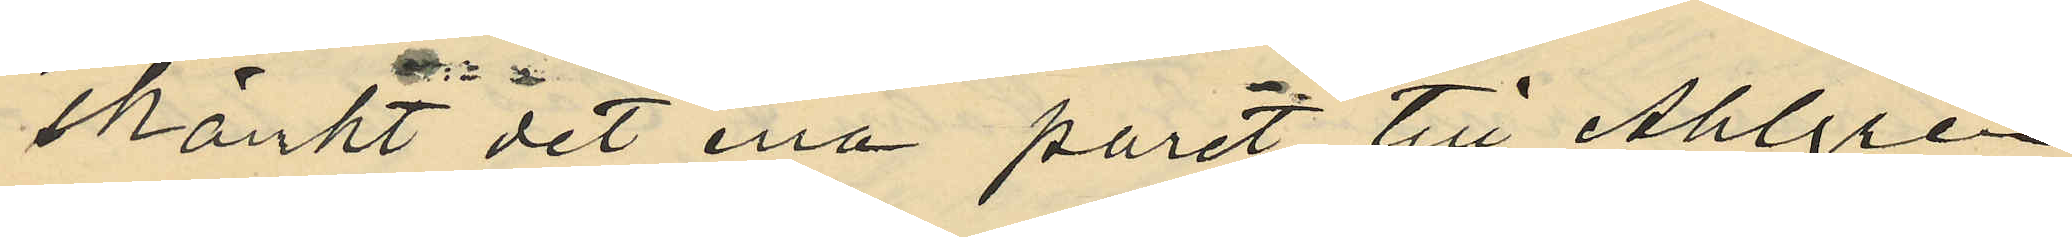skänkt det ena paret till Ahlgren
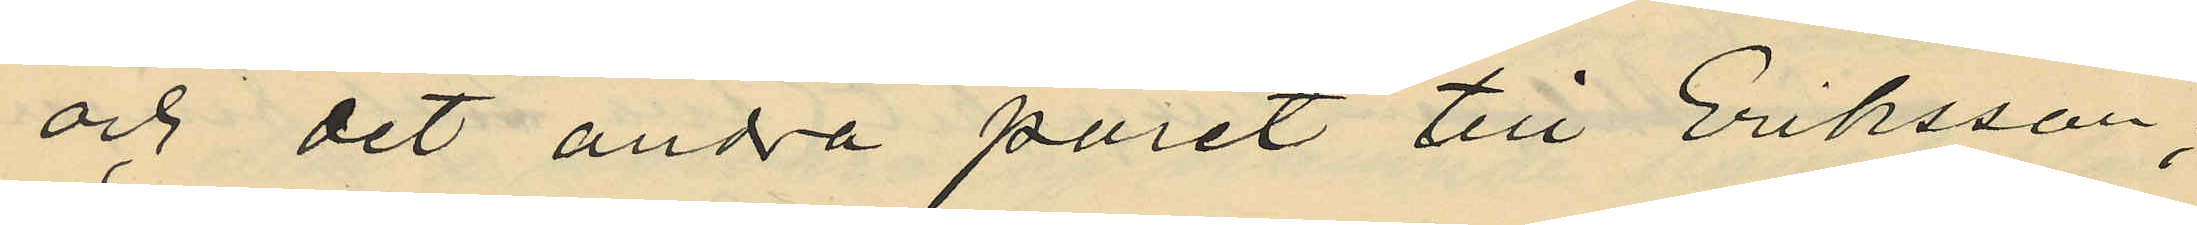och det andra paret till Eriksson,
